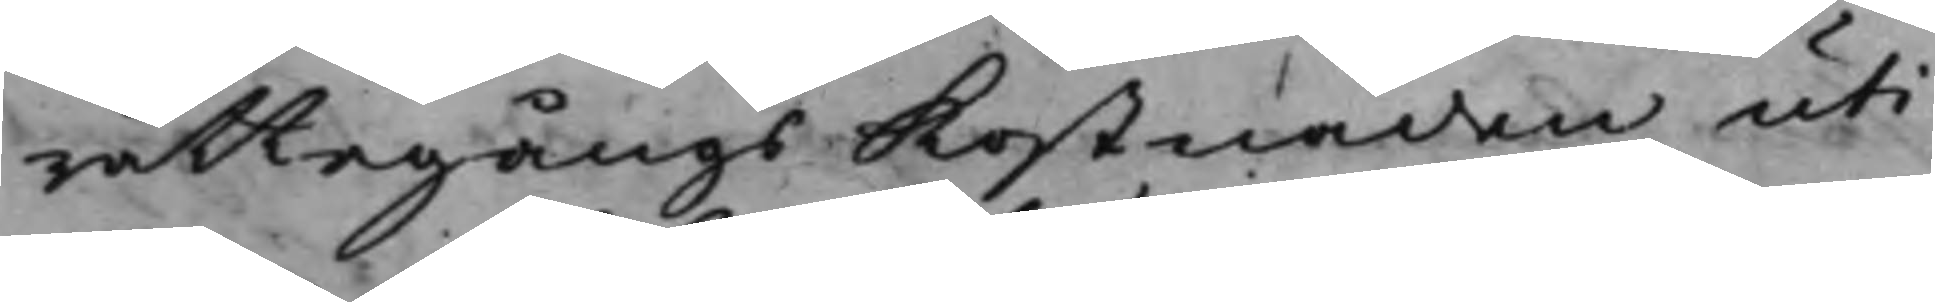rättegångs Kostnaden uti
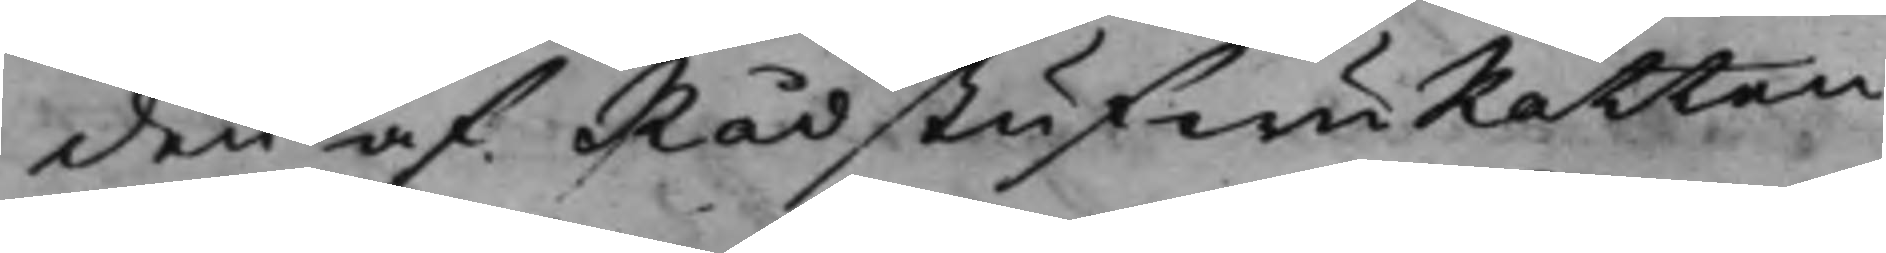den af RådstufwuRätten
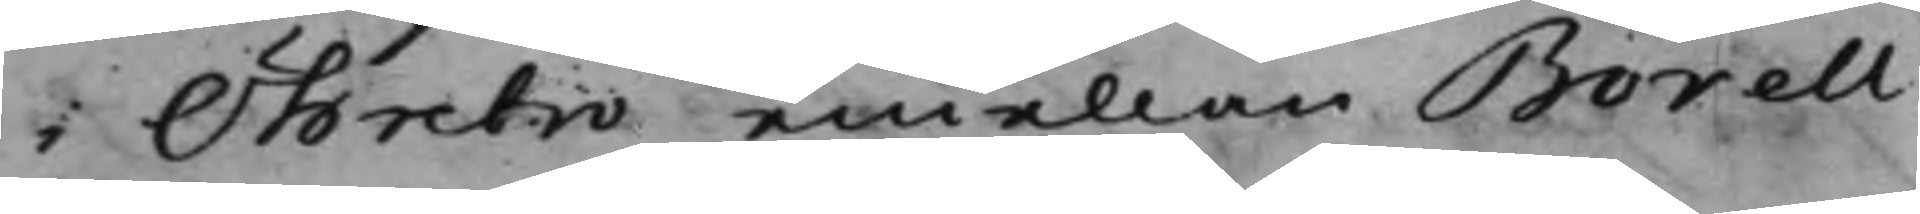i Öhrebro emellan Borell
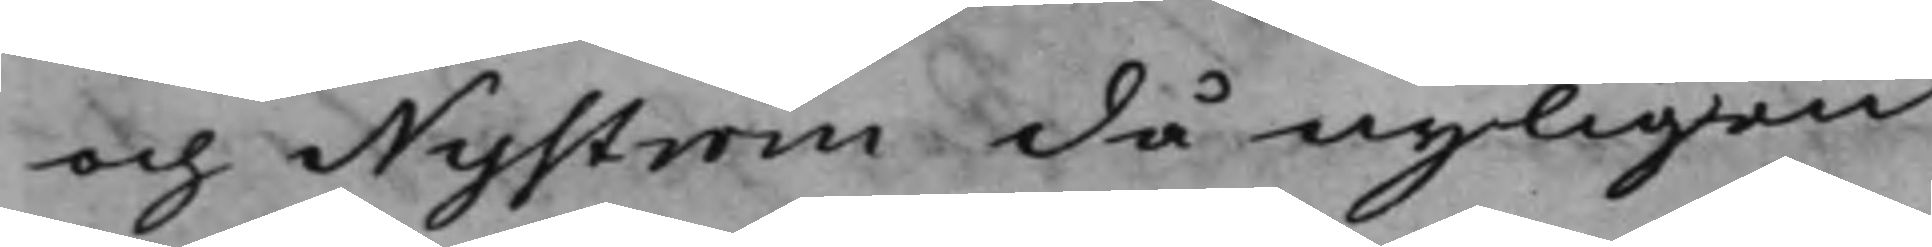och Nyström då nyligen
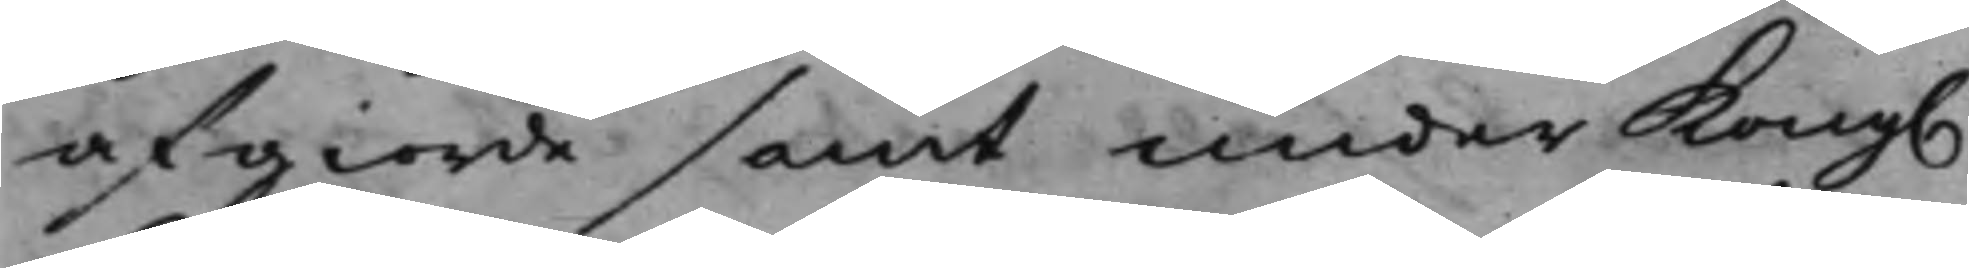afgiorde samt under Kong.
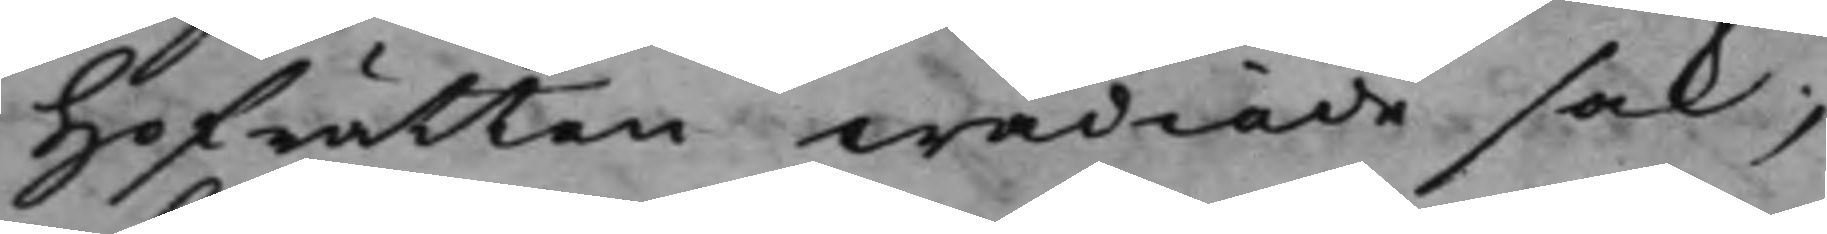Hofrätten wädiade sak;
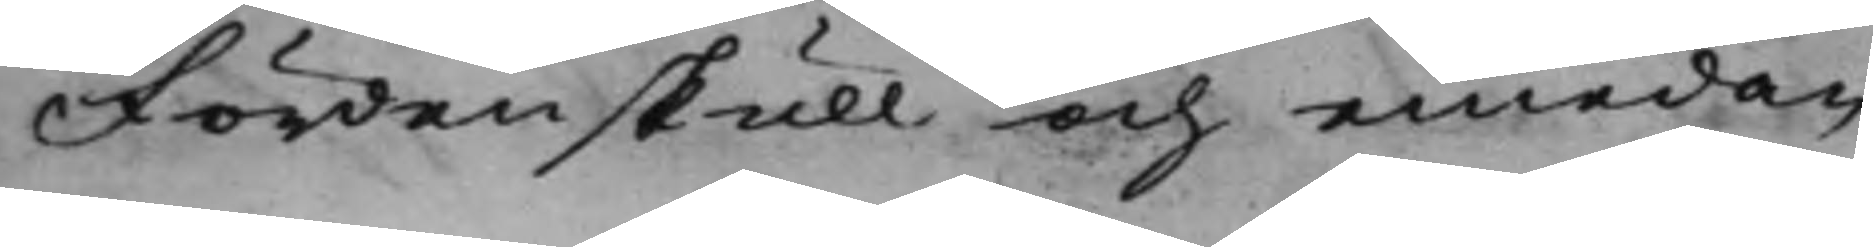Fördenskull och emedan
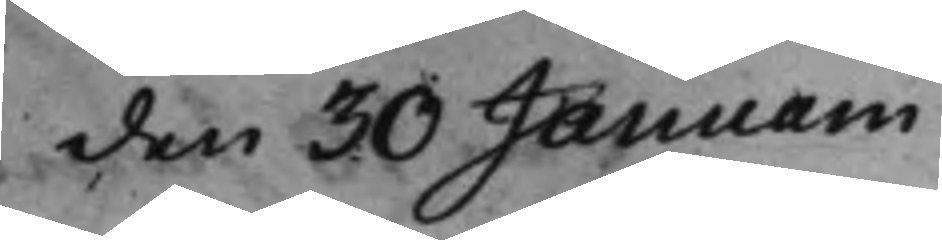den 30 Januarii
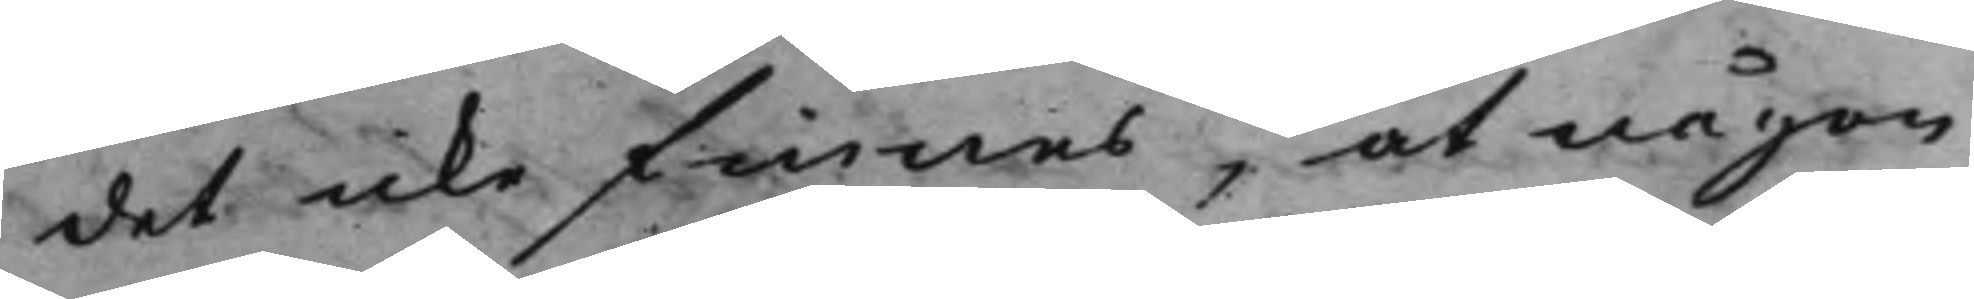det icke finnes, at någon
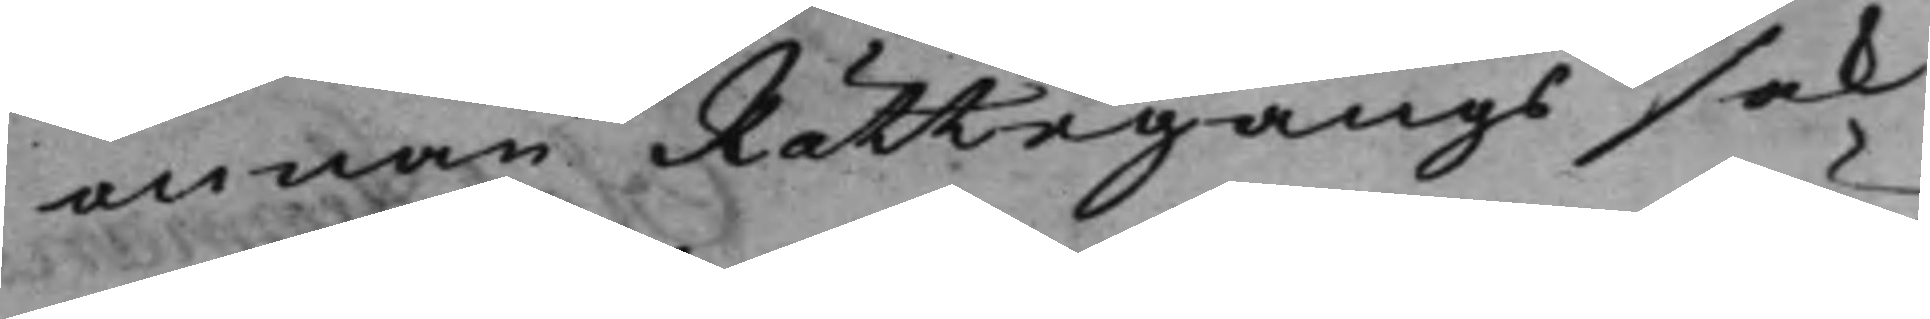annan Rättegångssak
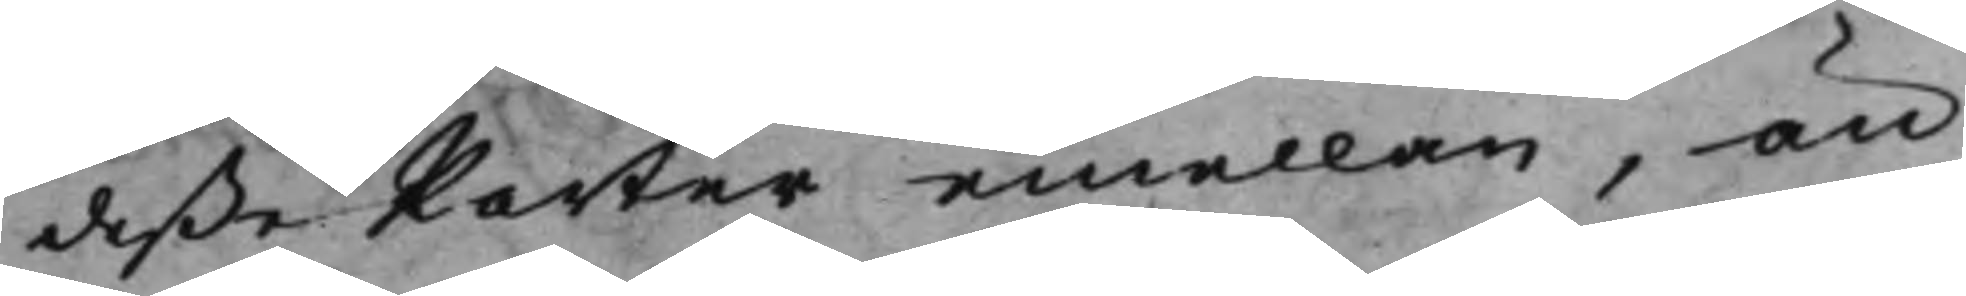deße Parter emellan, än
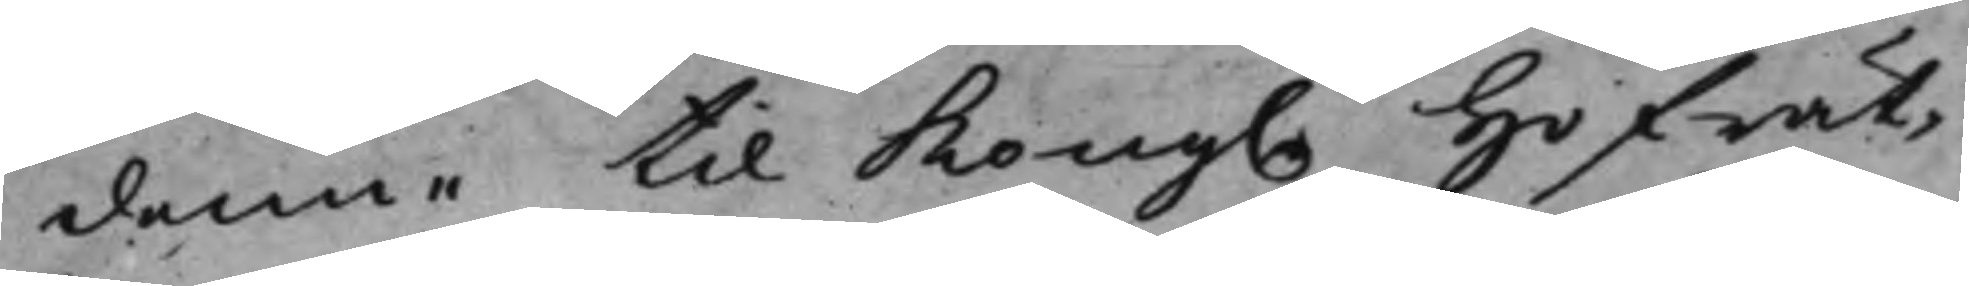denne till Kong. Hofrät¬
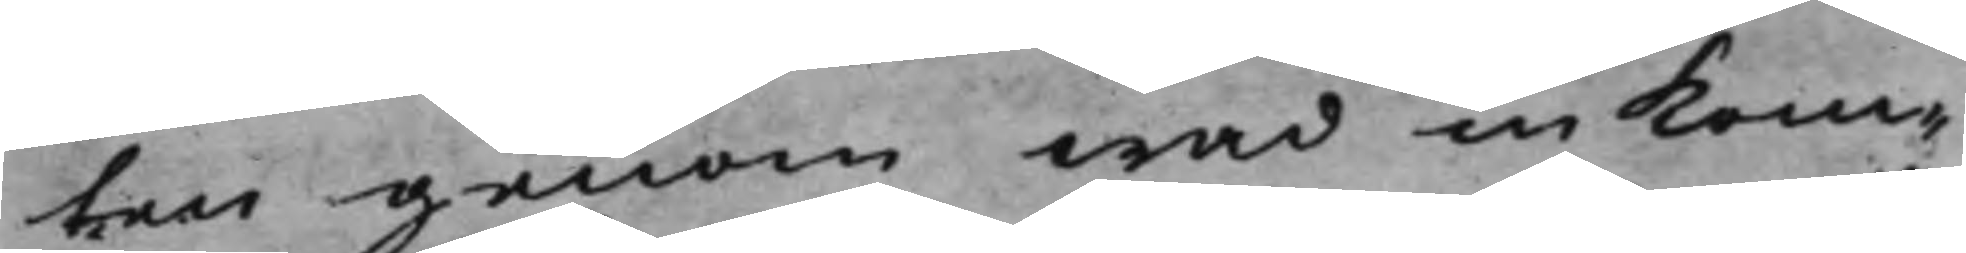ten genom wad inkom¬
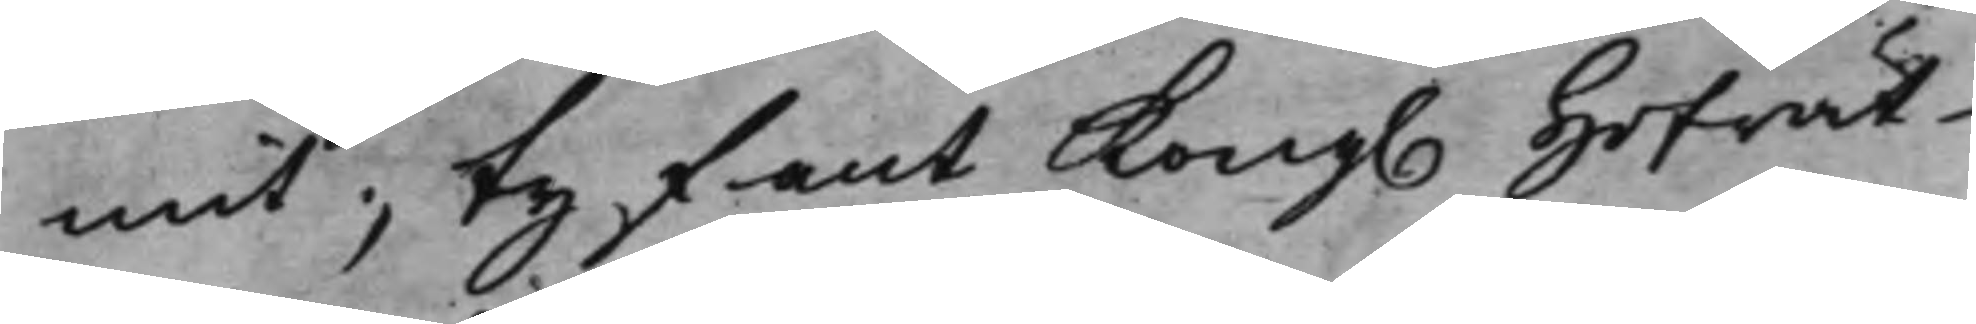mit; ty fant Kong. Hofrät¬
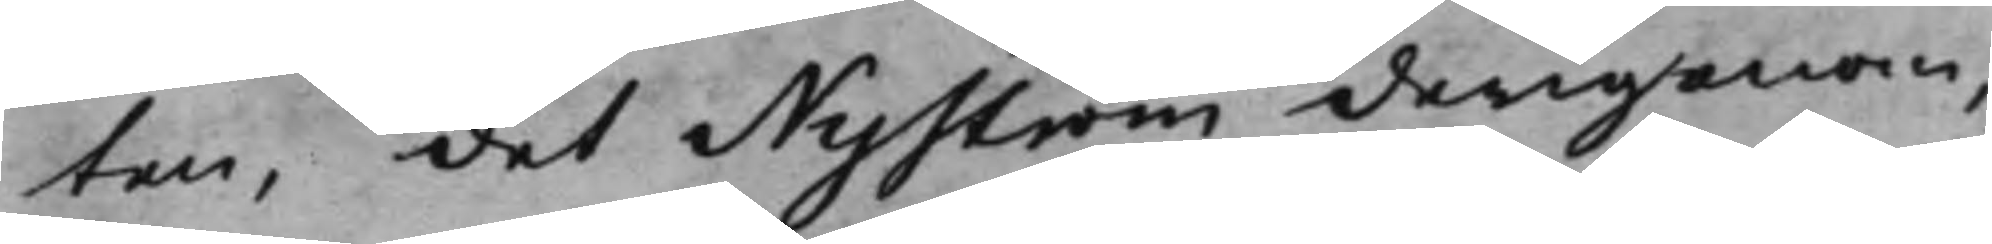ten, det Nyström derigenom,
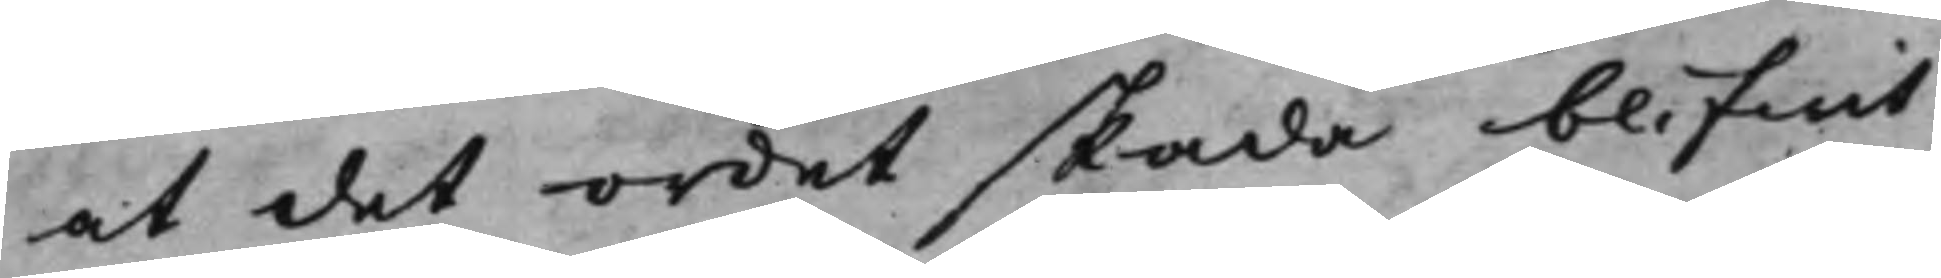at det ordet skada blifwit
